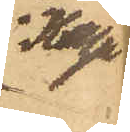i Haga
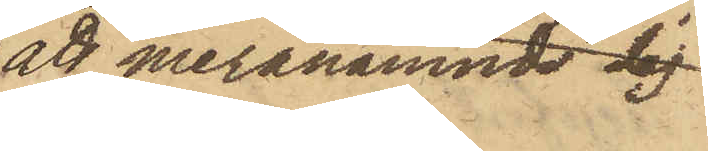att meranämnde dag
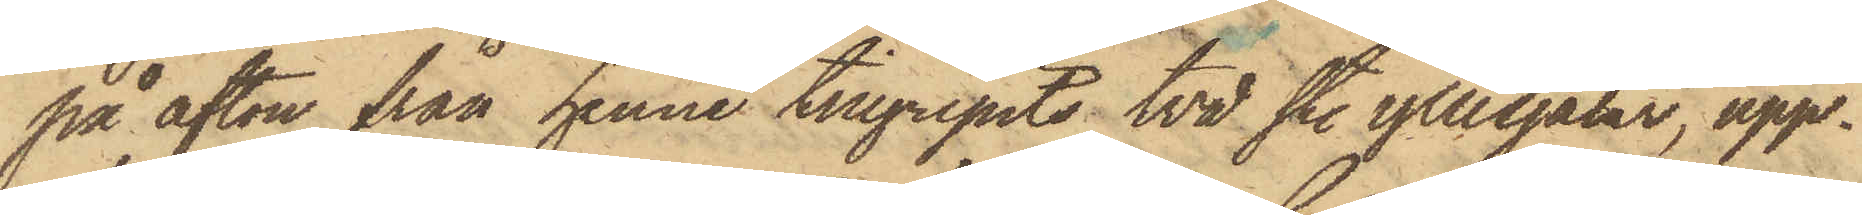på afton från henne tillgripits två st. yllesjalar, upp¬
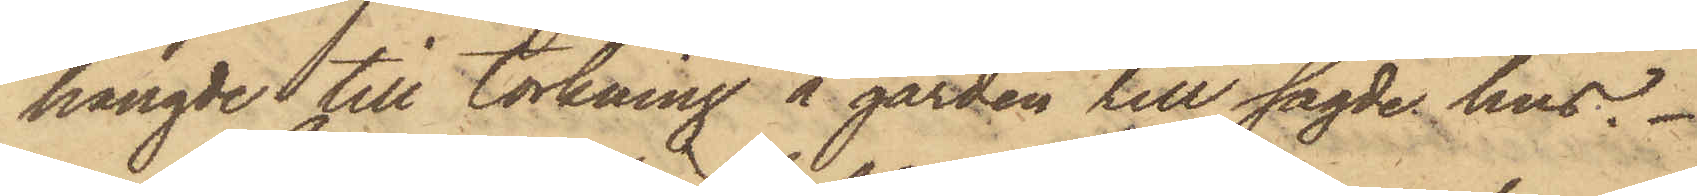hängde till torkning å gården till sagde hus.
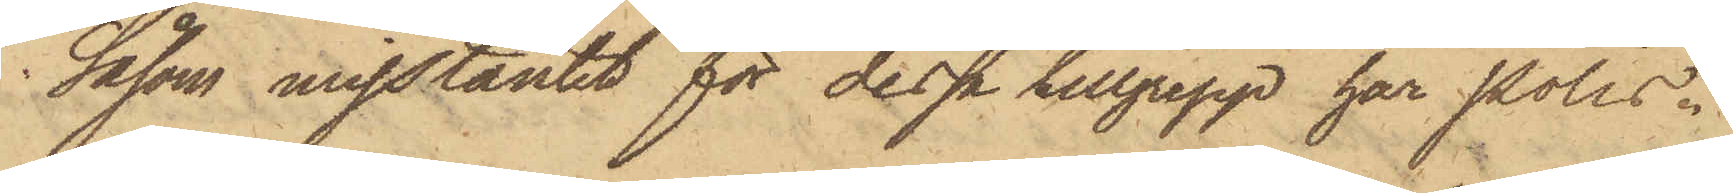Såsom misstänkt för dessa tillgrepp har Polis¬
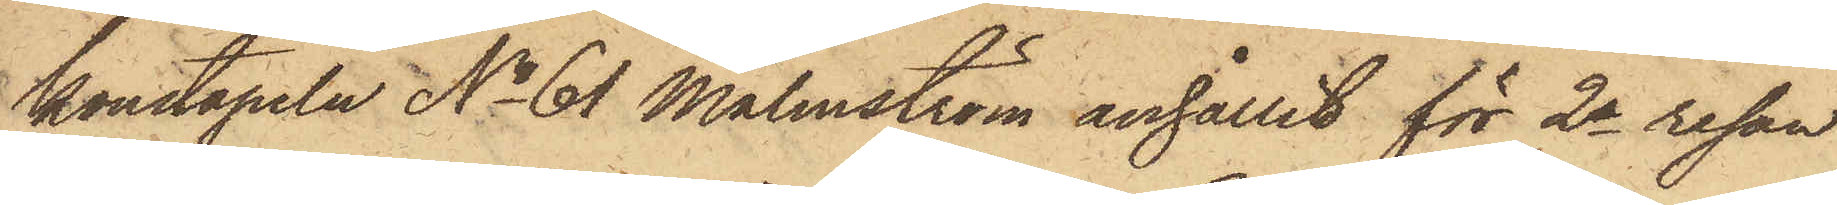konstapeln No 61 Malmström anhållit för 2a resan
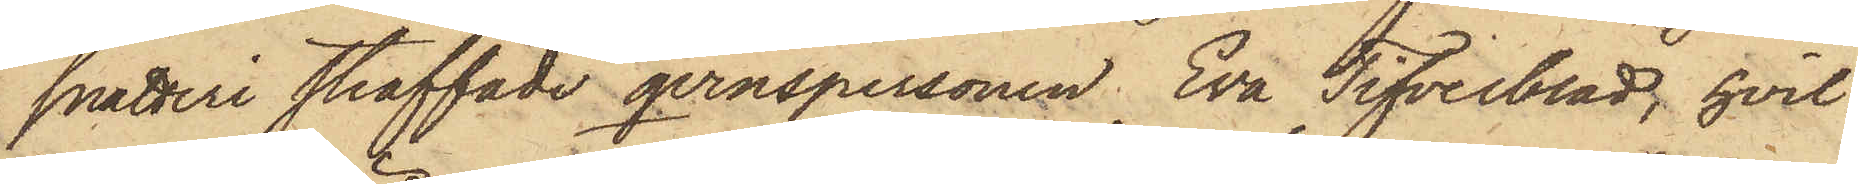snatteri straffade qvinspersonen Eva Tifverblad, hvil¬
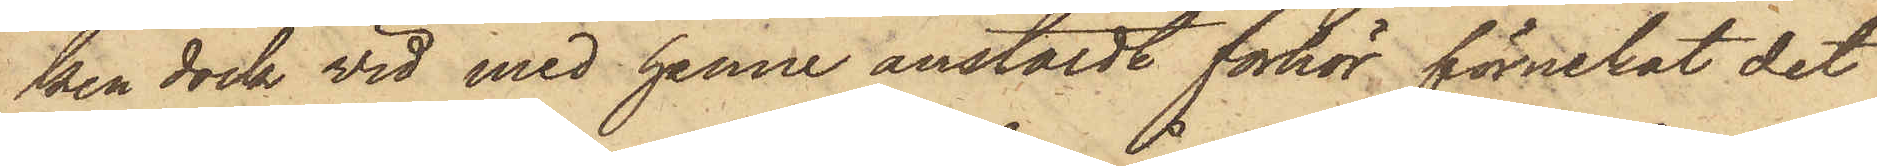ken dock wid med henne anstäldt förhör förnekat det
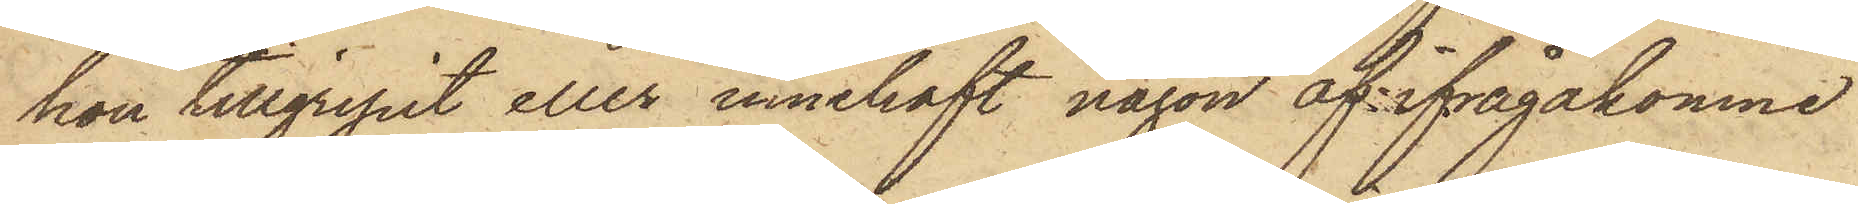hon tillgripit eller innehaft någon af ifrågakomne
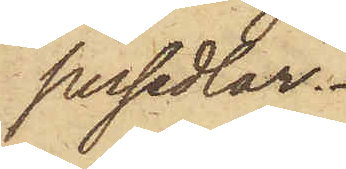persedlar.
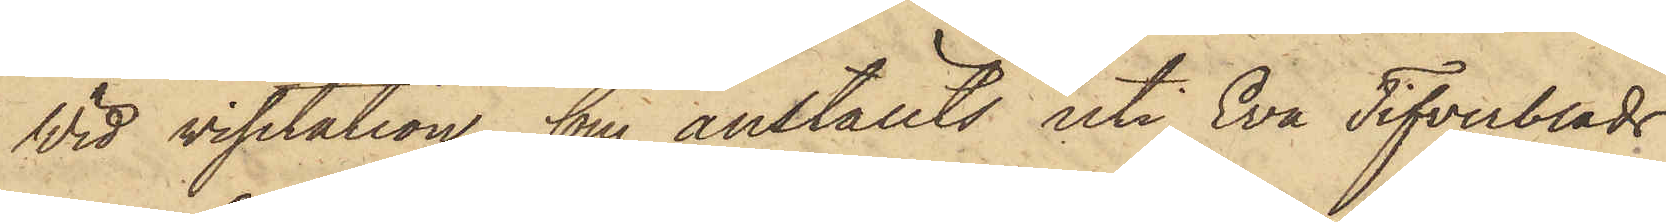Wid visitation, som anställts uti Eva Tifverblads
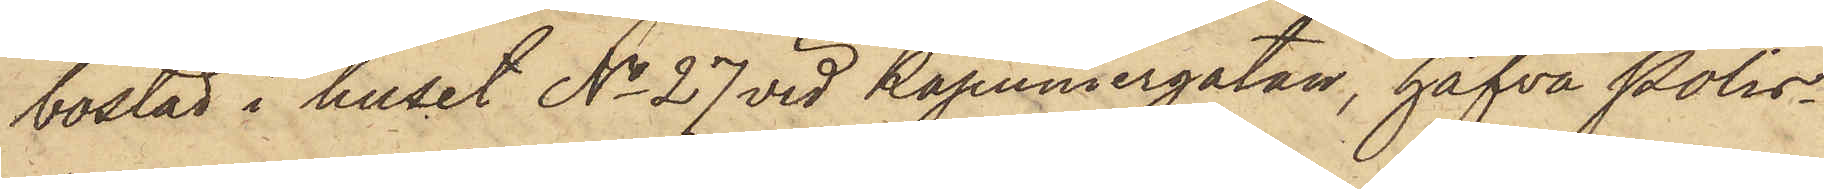bostad i huset No 27 vid Kapuniergatan, hafva Polis¬
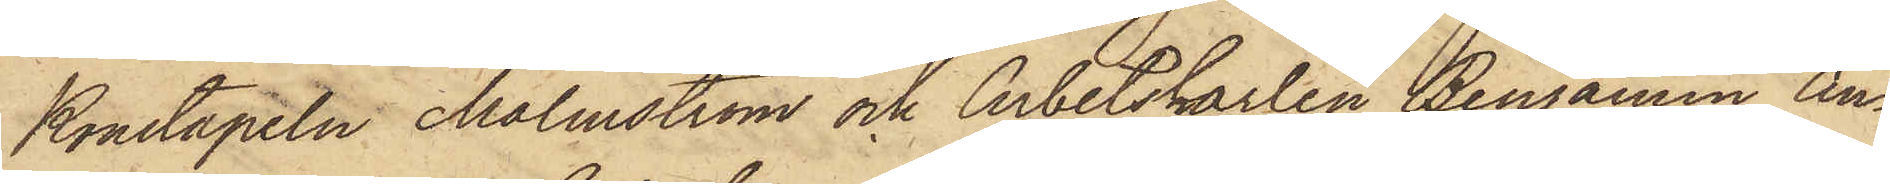Konstapeln Malmström och Arbetskarlen Benjamin An¬
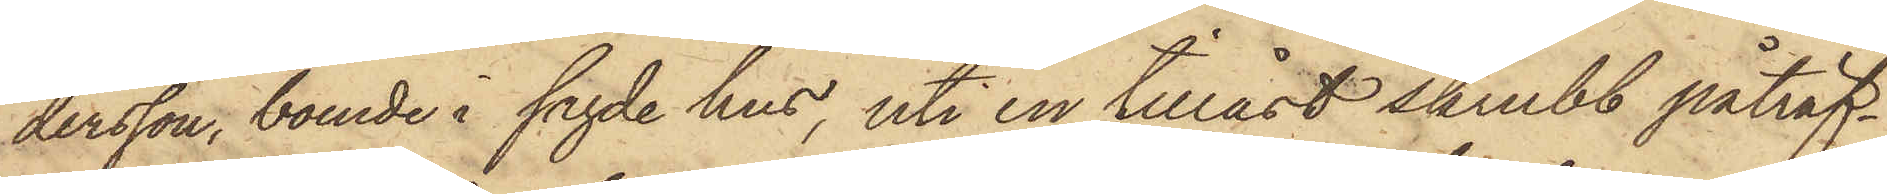dersson, boende å sagde hus, uti en tillåst skrubb påträf¬
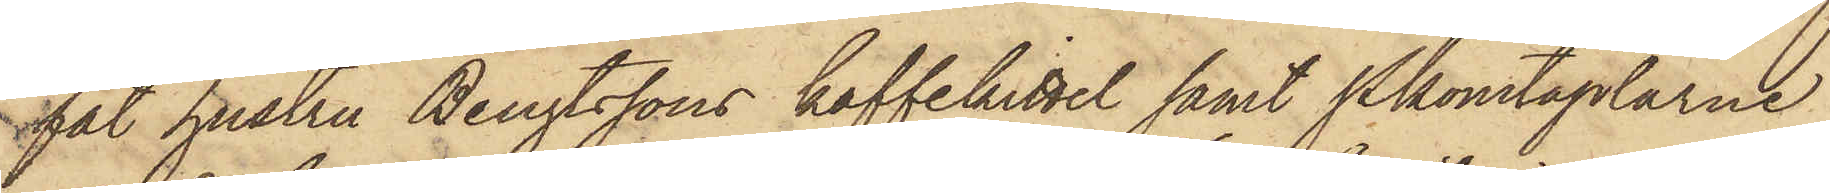fat hustru Bengtssons kaffekittel samt Pkonstaplarne
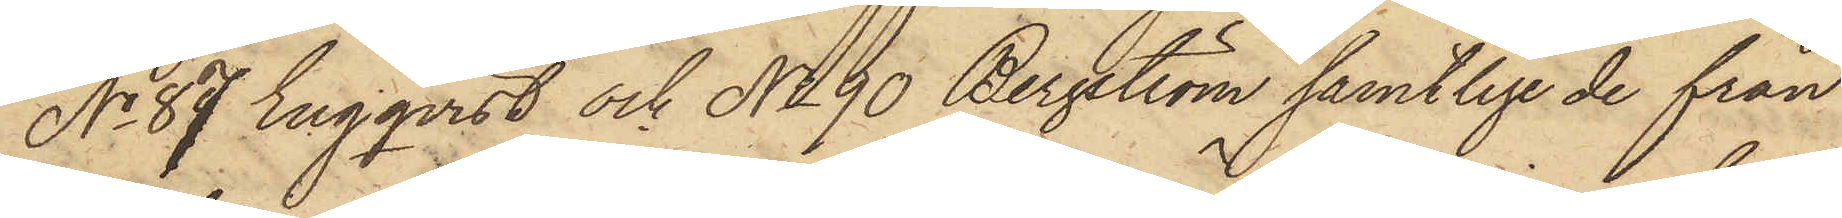No 87 Engqvist och No 90 Bergström samtlige de från
